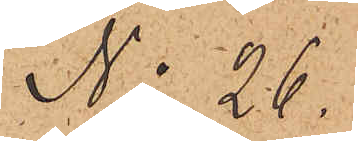No 26.
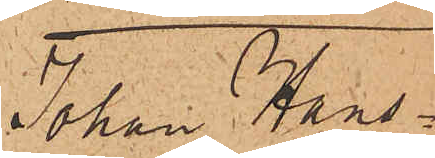Johan Hans¬
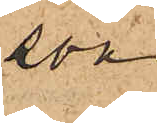son
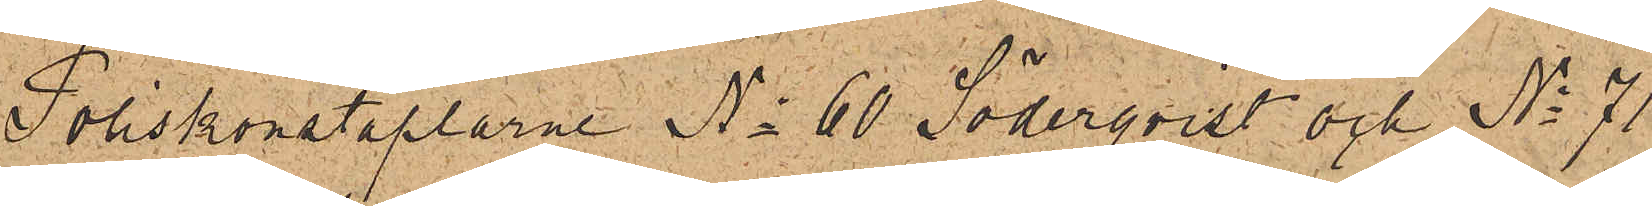Poliskonstaplarne No 60 Söderqvist och No 71
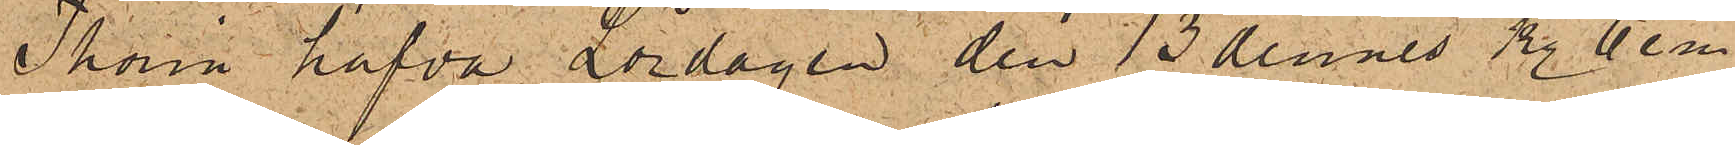Thorin hafva Lördagen den 13 dennes kl. 6 e m
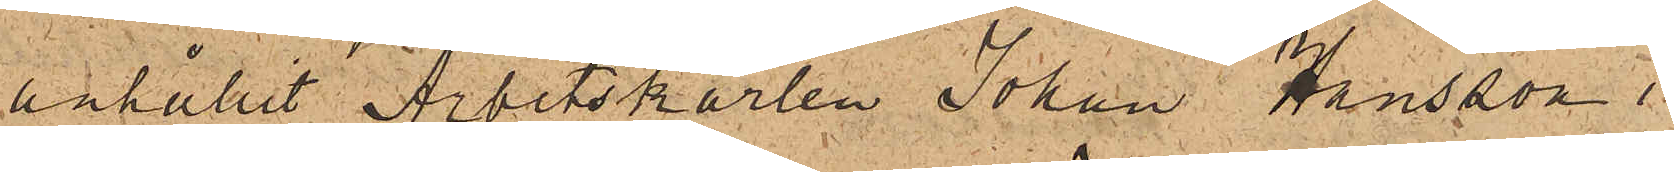anhållit Arbetskarlen Johan Hansson i
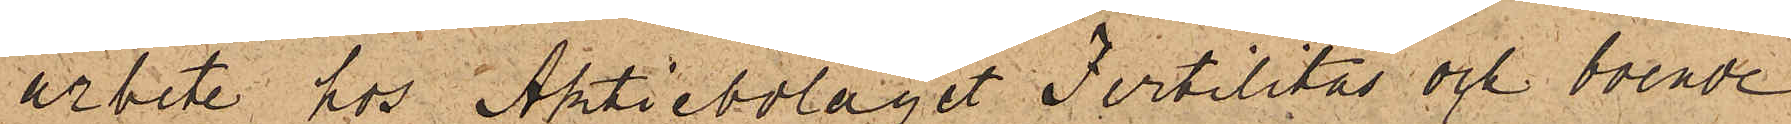arbete hos Aktiebolaget Fertilitas och boende
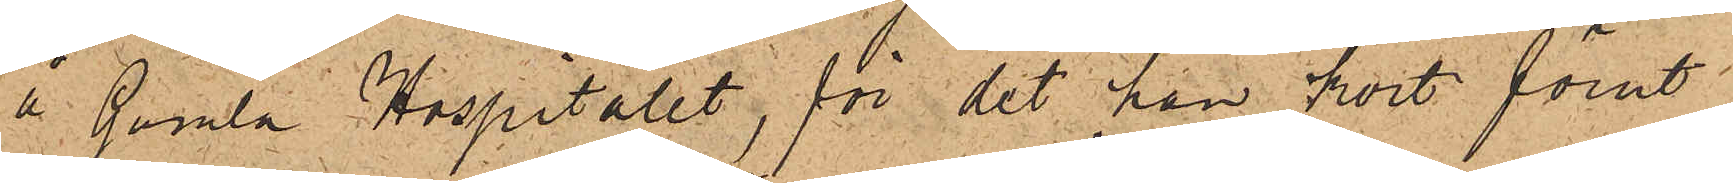å Gamla Hospitalet, för det han kort förut
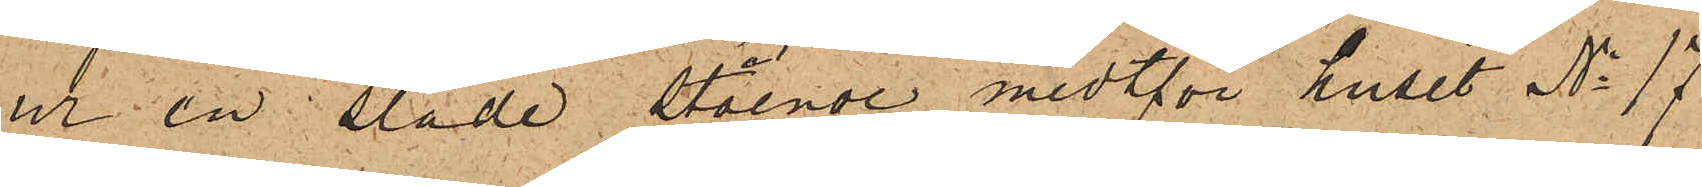ur en släde stående midtför huset No 17
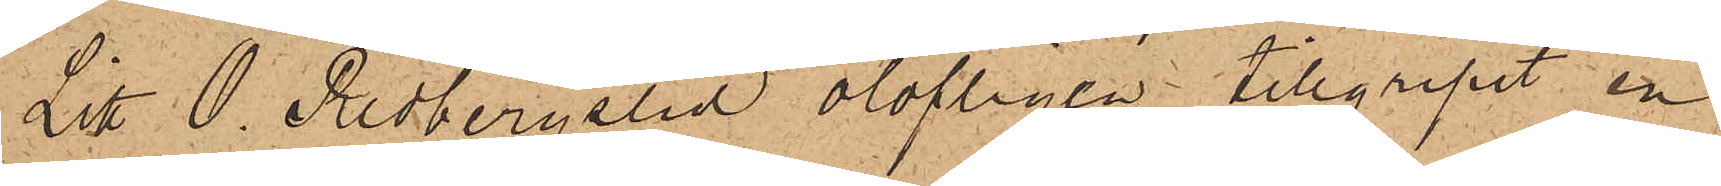Litt. O. Redbergslid olofligen tillgripit en
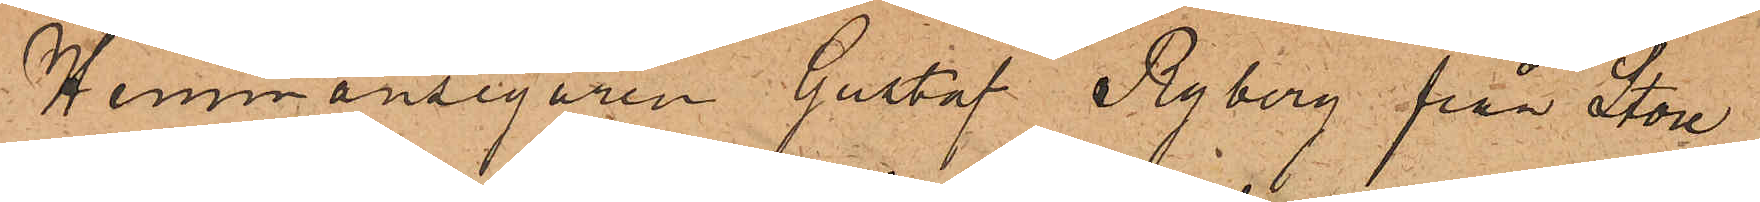Hemmansegaren Gustaf Nyberg från Store
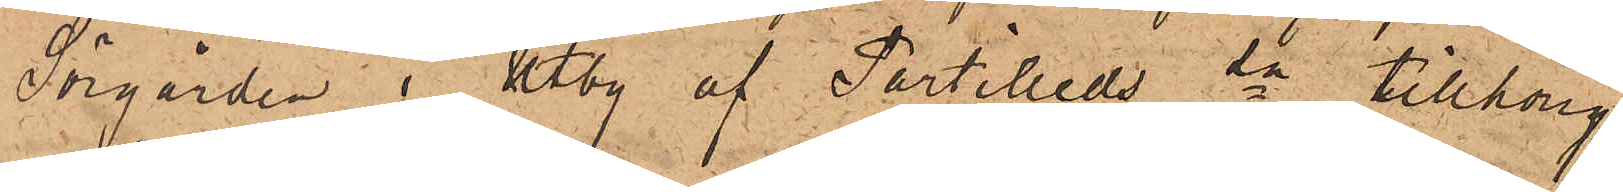Sörgården i Utby af Partilleds sn tillhörig
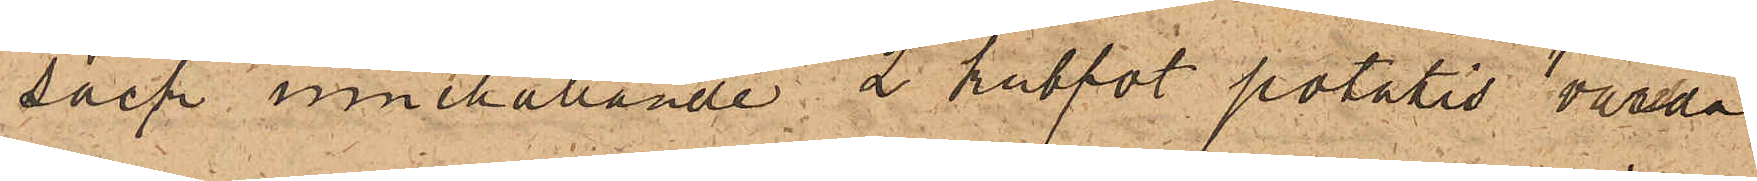säck innehållande 2 kubfot potatis, värda
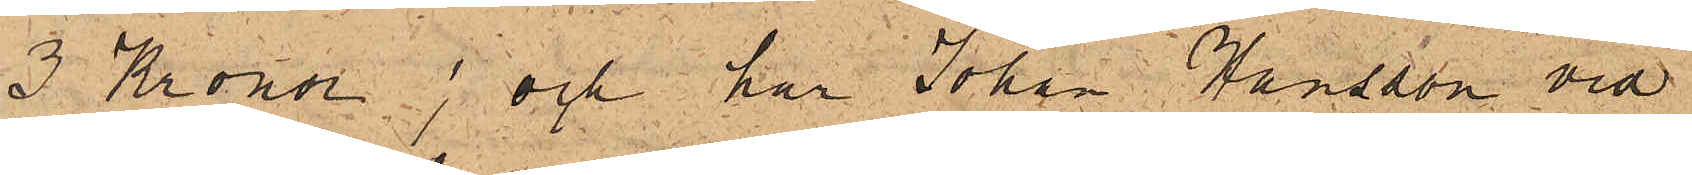3 Kronor; och har Johan Hansson vid
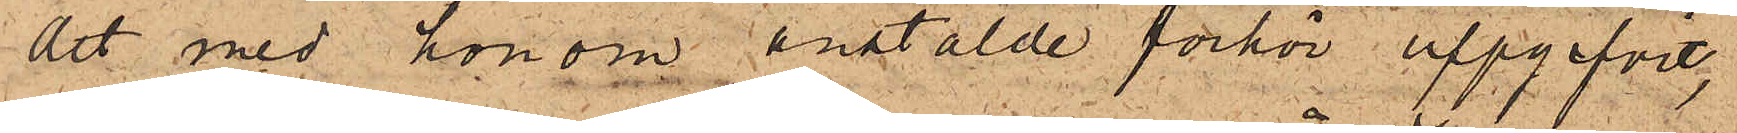det med honom anstälde förhör uppgifvit,
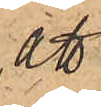att
